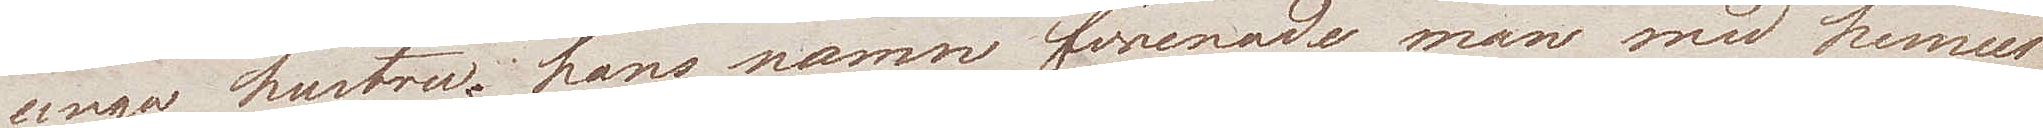unga hustru; hans namn förenade man wid hennes
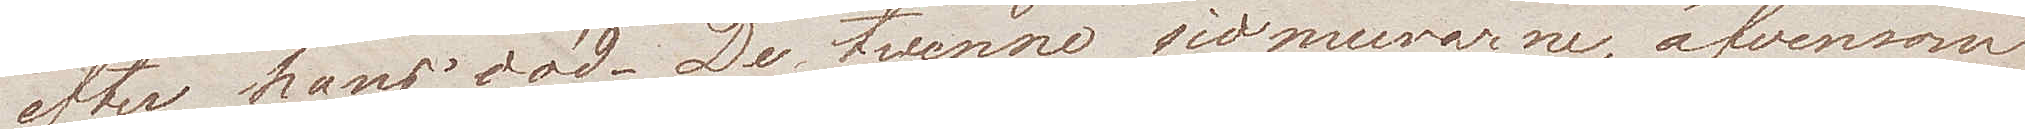efter hans död. De tvenne sidmurarne, äfvensom
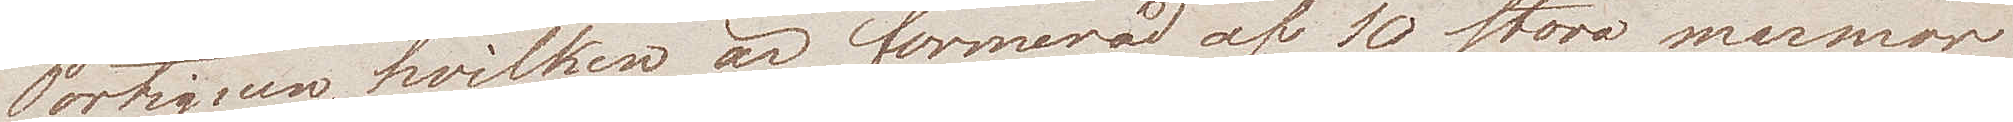Portiquen, hvilken är formerad af 10 stora marmor
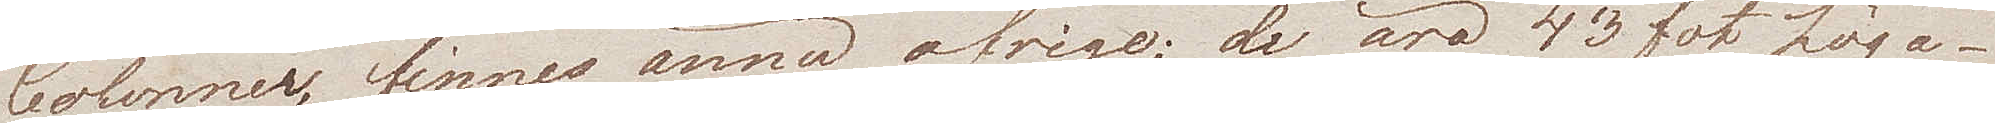Colonner, finnes ännu öfrige; de äro 43 fot höga.
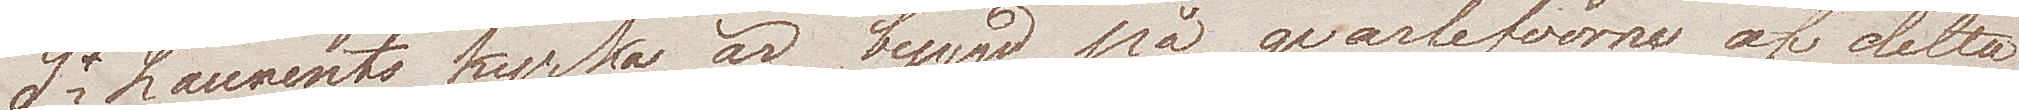St Laurents kyrka är byggd på qvarlefvorne af detta
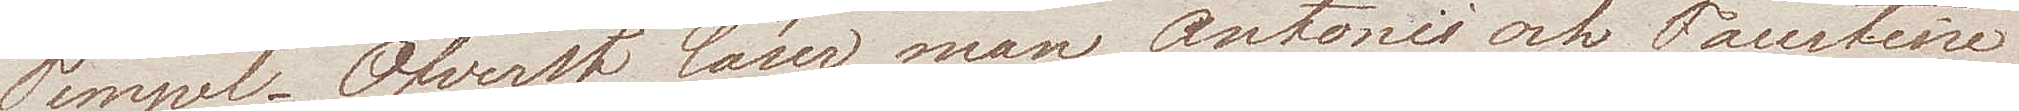Tempel. Öfverst läser man Antonii och Faustine
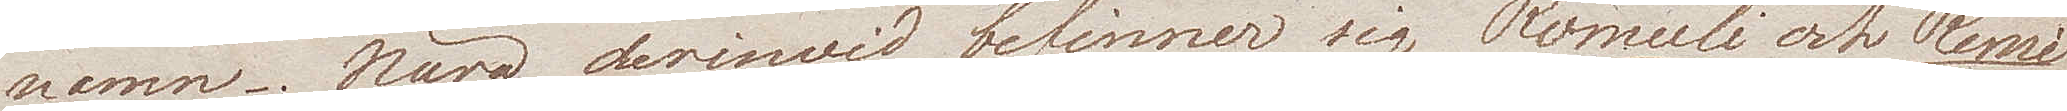namn. Nära derinwid befinner sig Romuli och Remi
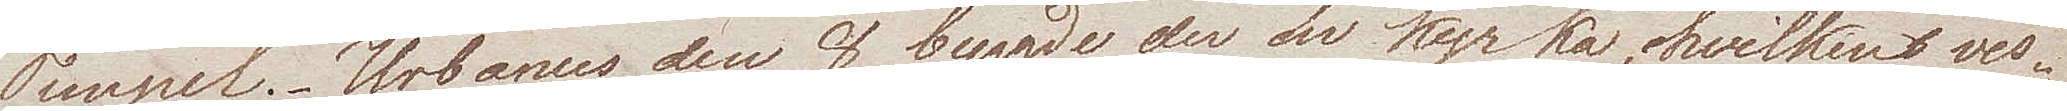Tempel. Urbanus den 8 byggde der en kyrka, hvilkens ves¬
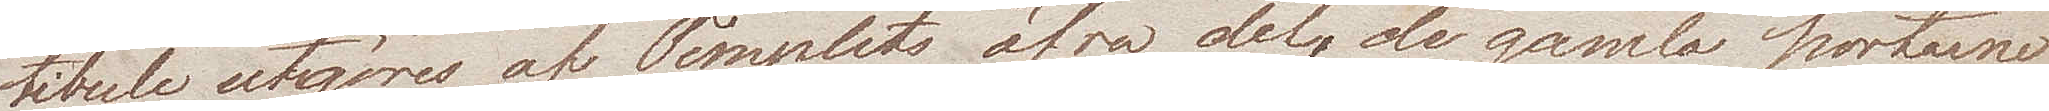tibule utgöres af Templets öfra del, de gamla portarne
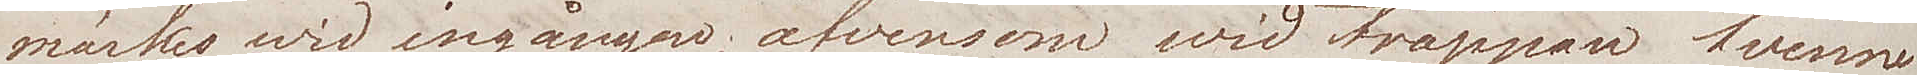märkes wid ingången, äfvensom wid trappan tvenne
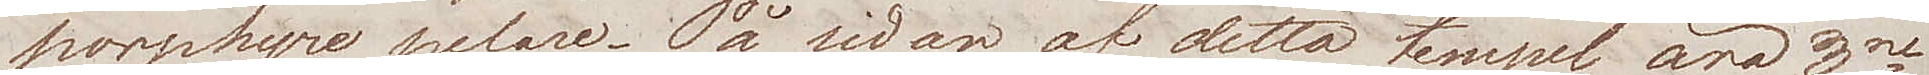porphyre pelare. På sidan af detta  tempel äro 3ne
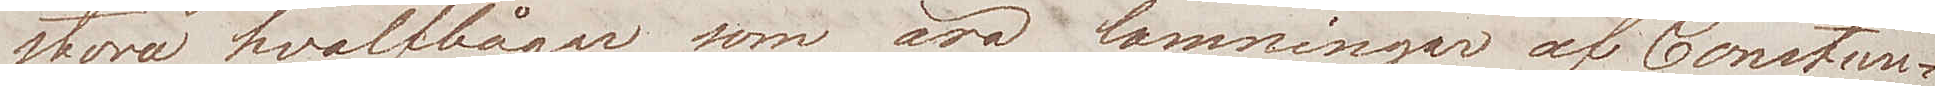stora hvalfbågar som äro lämningar af Constan¬
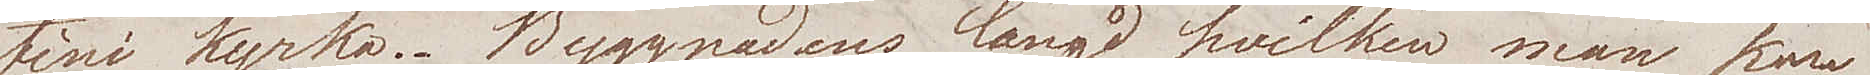tini kyrka. Byggnadens längd, hvilken man kan
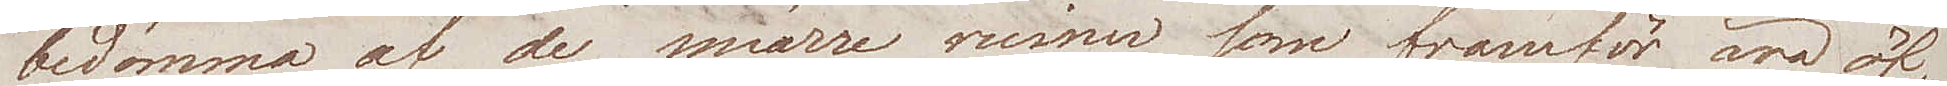bedömma af de smärre ruiner som framför äro öf¬
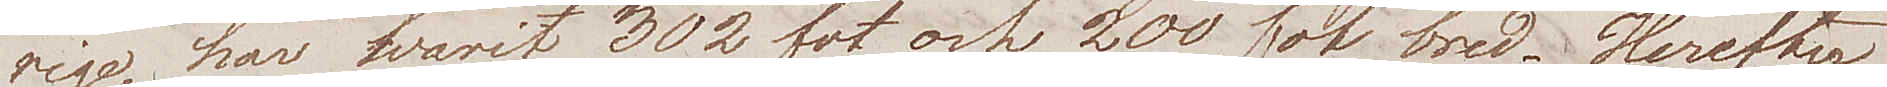rige, har hvarit 302 fot och 200 fot bred. Herefter
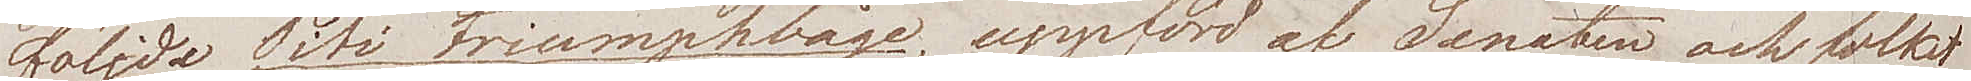följde Titi Triumphbåge, uppförd av Senaten och folket
